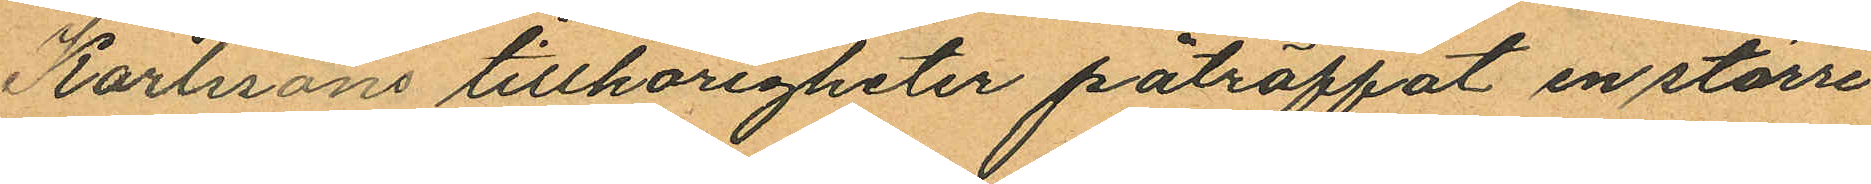Karlssons tillhörigheter påträffat en större
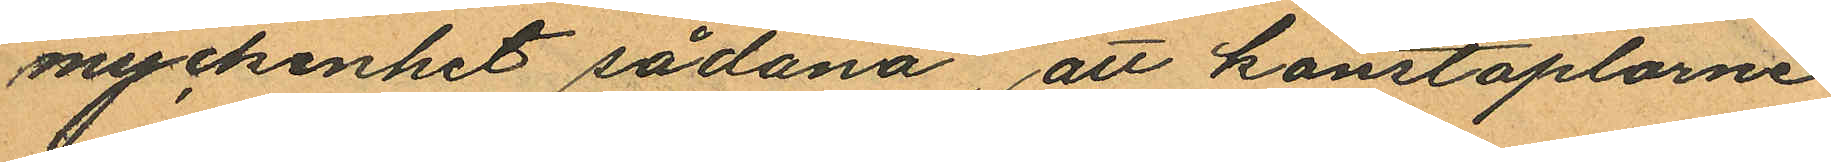myckenhet sådana, att konstaplarne
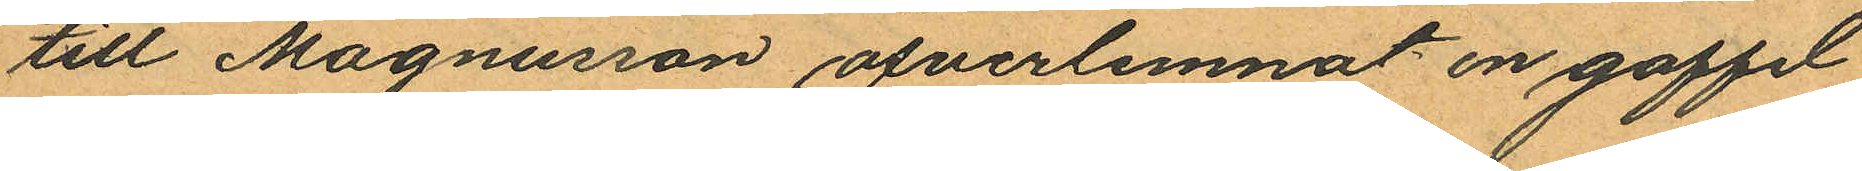till Magnusson öfverlemnat en gaffel
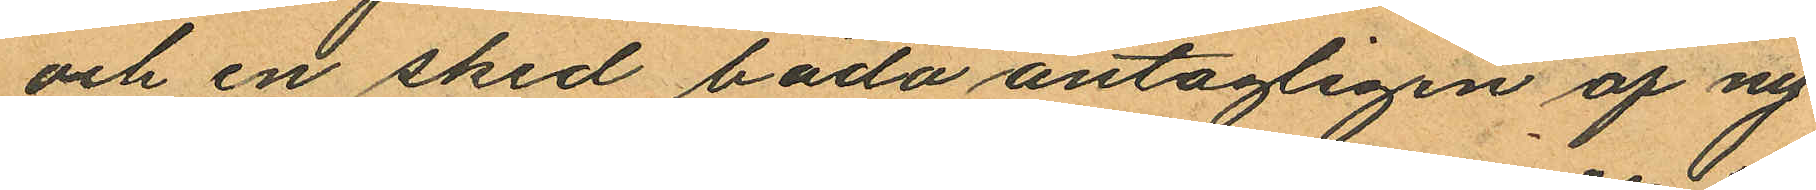och en sked båda antagligen af ny¬
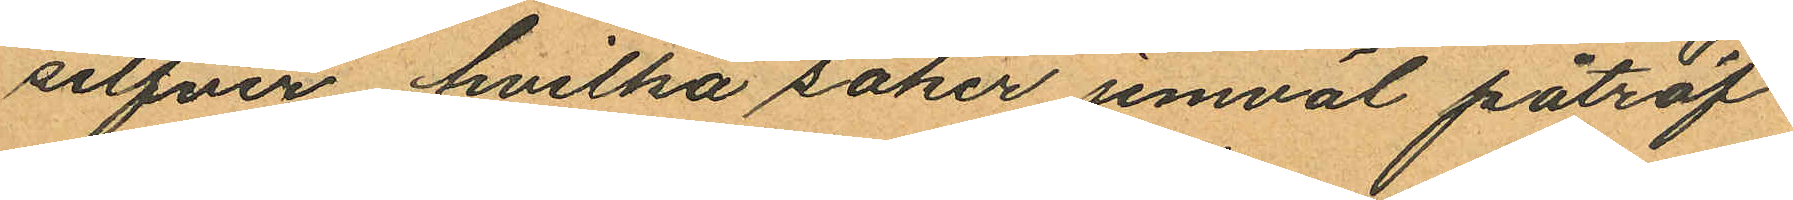silfver hvilka saker jemväl påträf¬
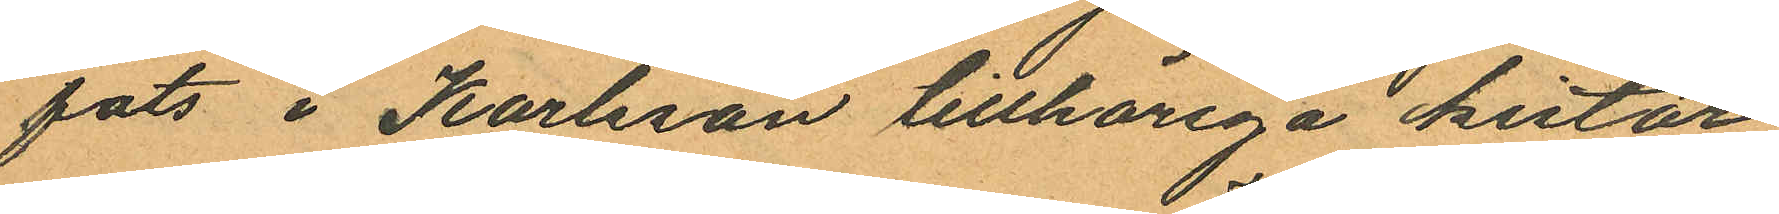fats i Karlsson tillhöriga kistor,
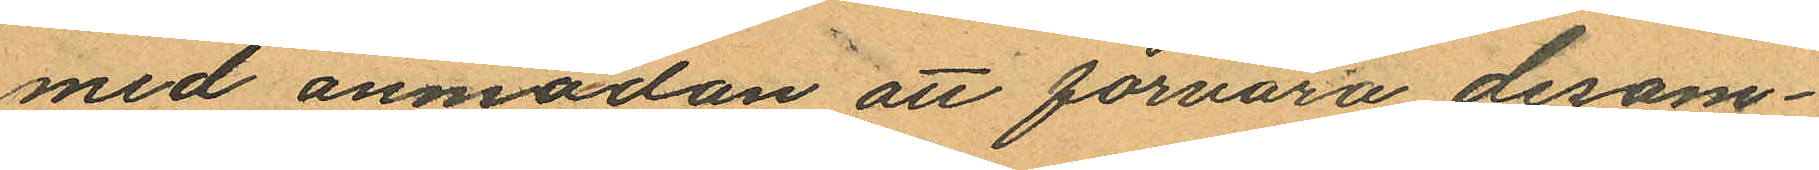med anmodan att förvara desam¬
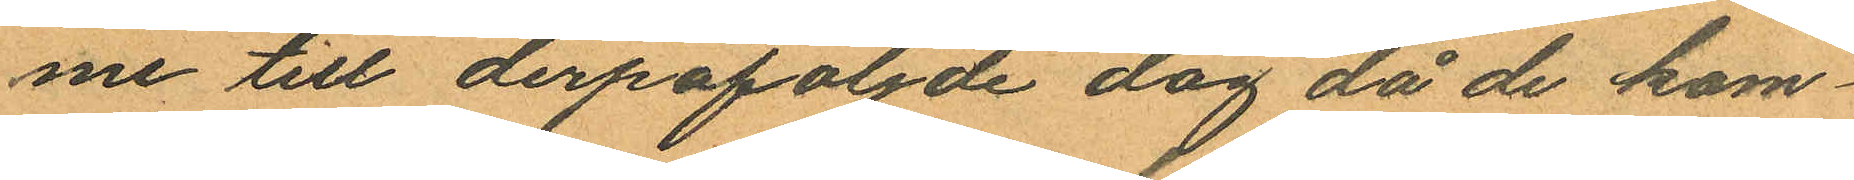me till derpåföljde dag då de kom¬
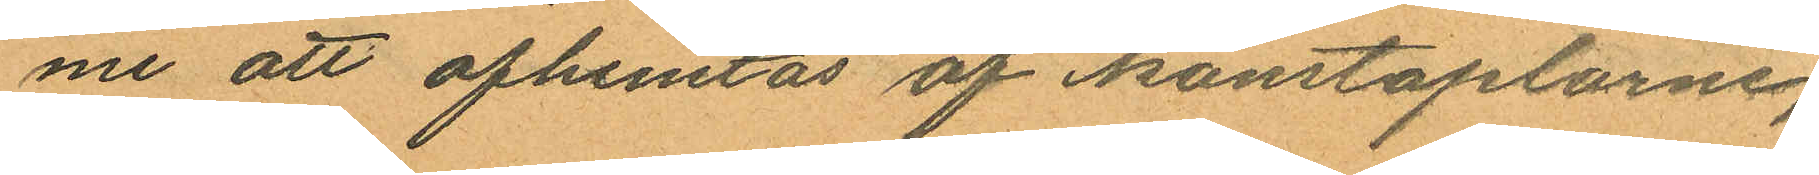me att afhemtas af konstaplarne,
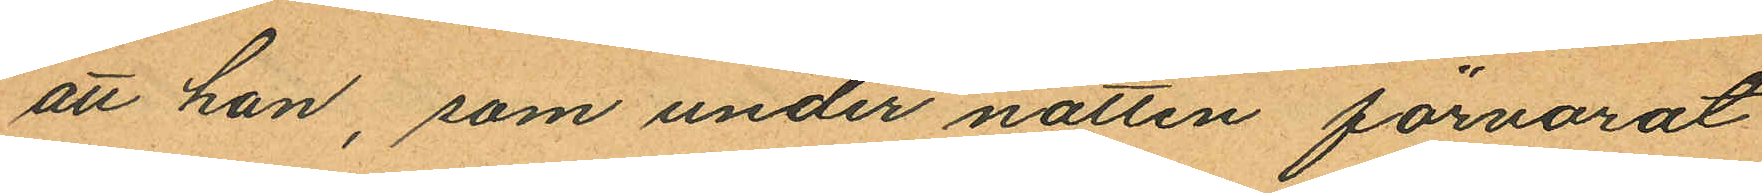att han, som under natten förvarat
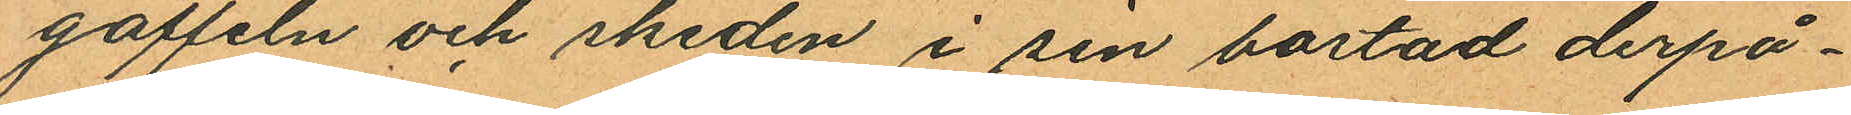gaffeln och skeden i sin bostad derpå¬
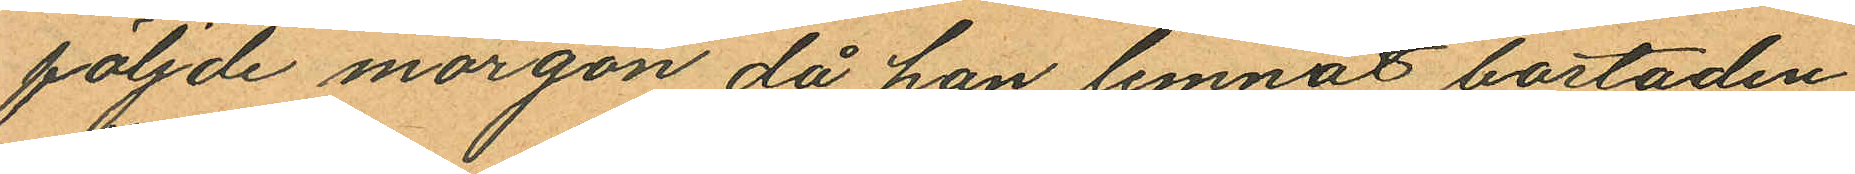följde morgon då han lemnat bostaden
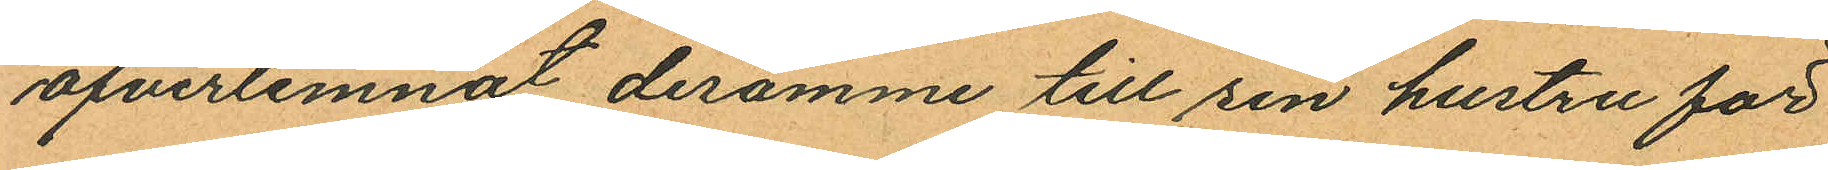öfverlemnat desamme till sin hustru för
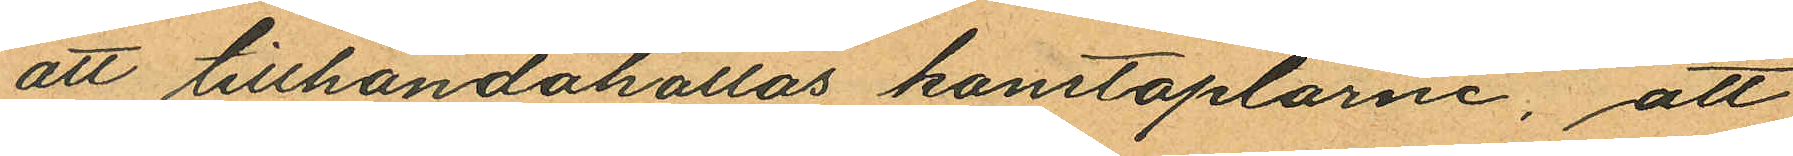att tillhandahållas konstaplarne, att
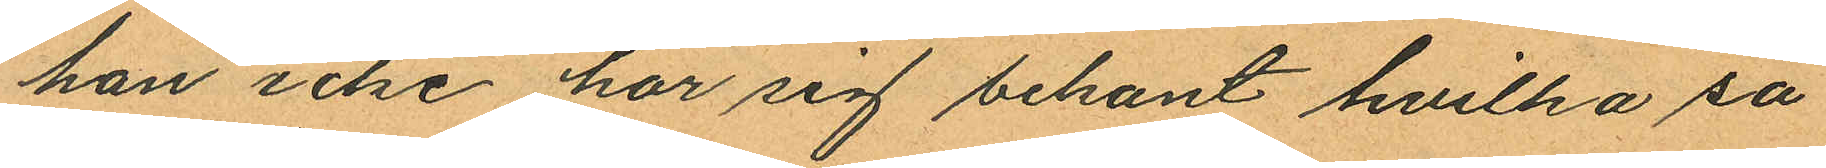han icke har sig bekant hvilka sa¬
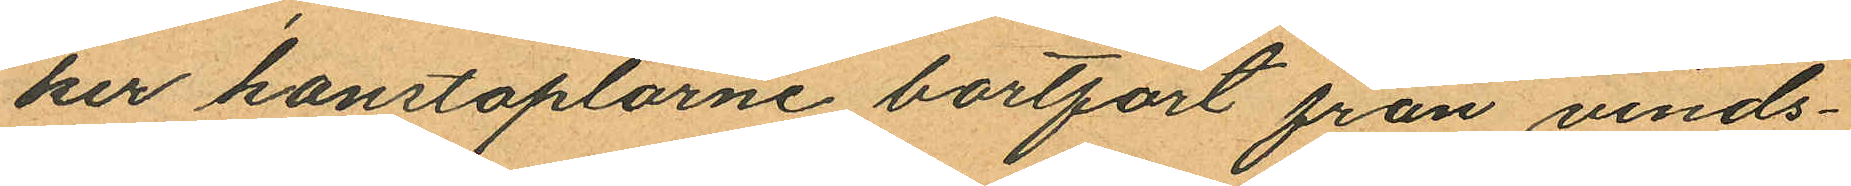ker konstaplarne bortfört från vinds¬
